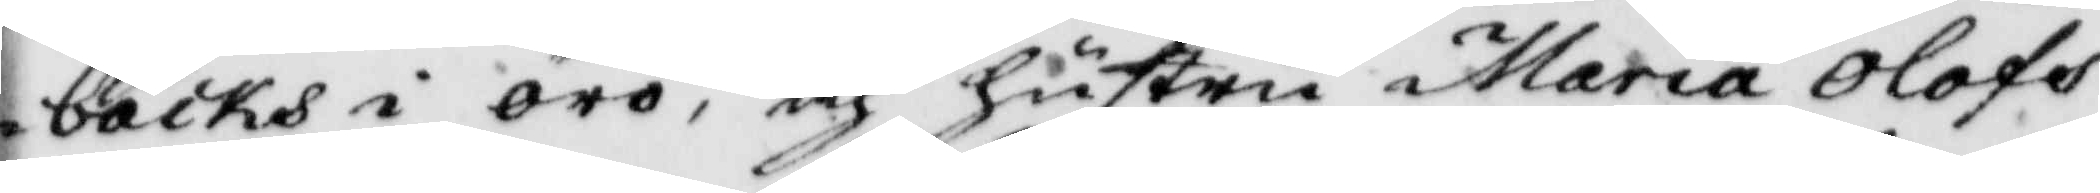bäcks i örö, och hustru Maria Olofs¬
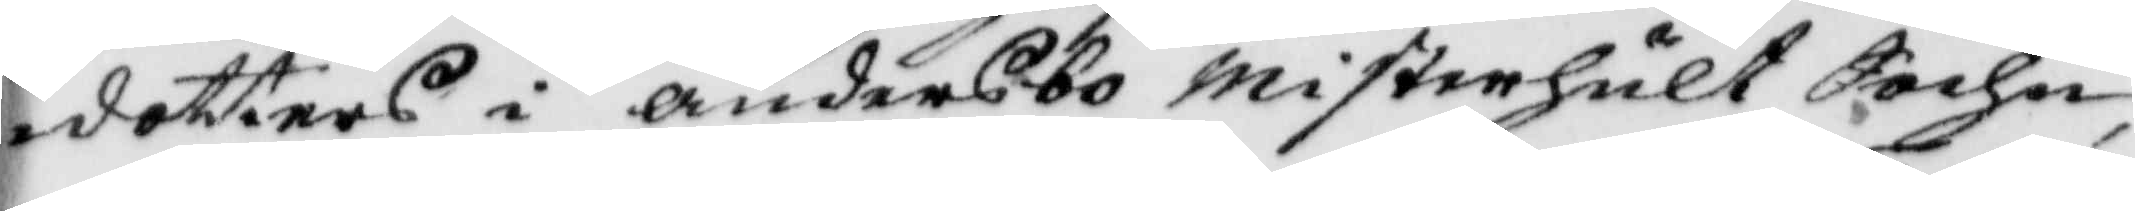dotters i andersbo Misterhult Sochn,
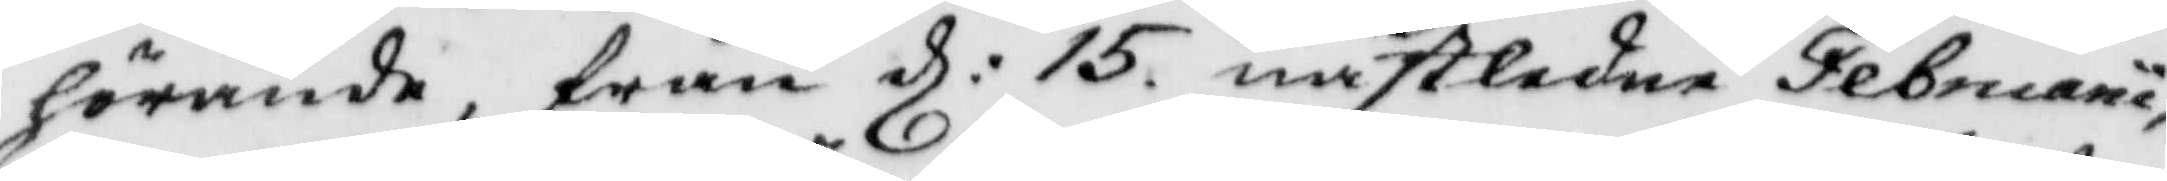hörande, från d: 15, nästledne Februaru
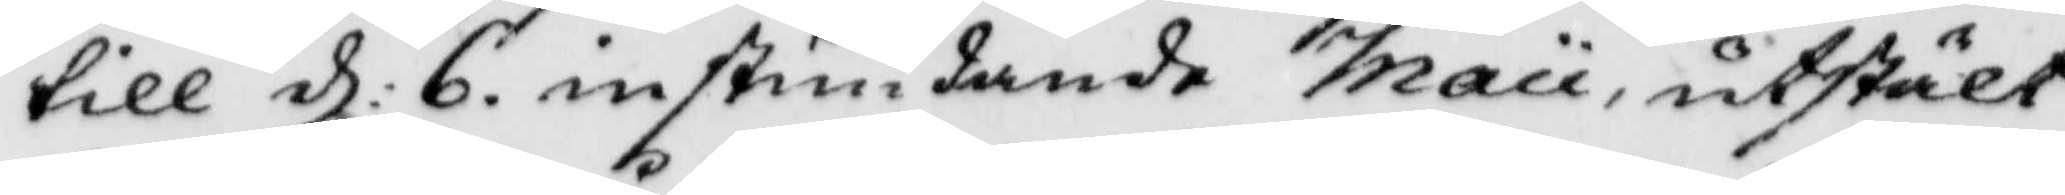till d: 6. instundande Maii utstält
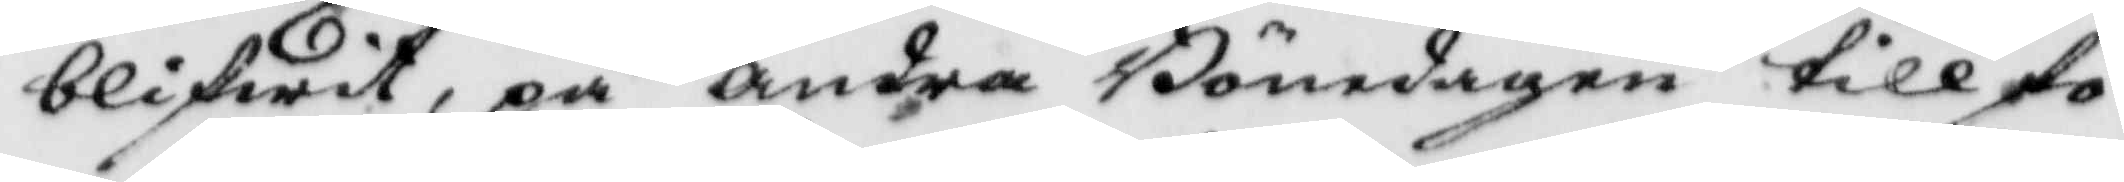blifwit, på andra Bönedagen till fö¬
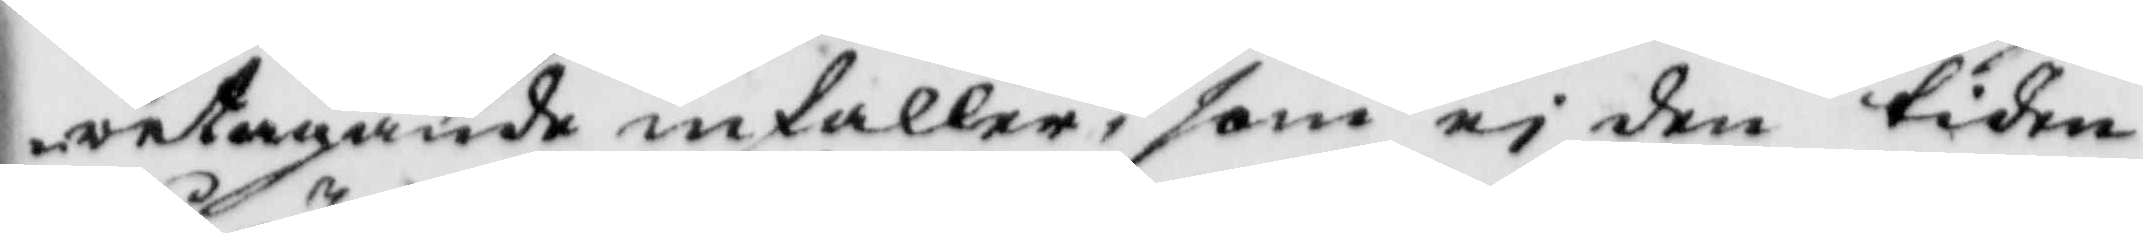retagande infaller, som ej den tiden
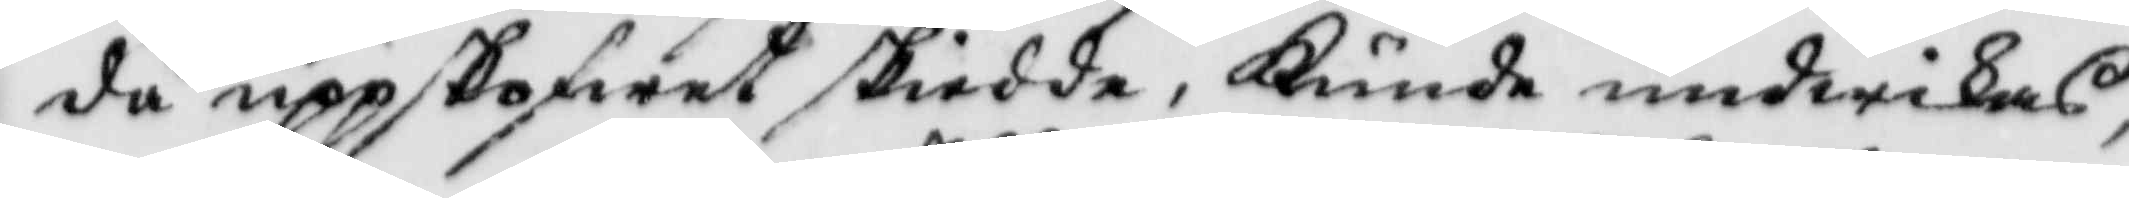då uppskofwet skiedde, Kunde undwikas,
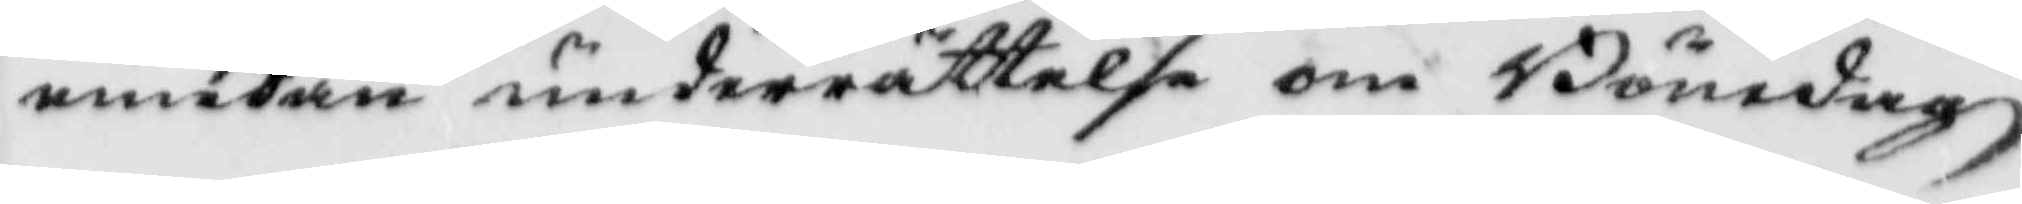emedan underrättelse om Bönedagz¬
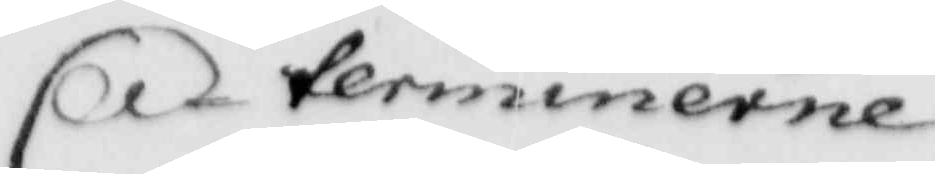terminerne
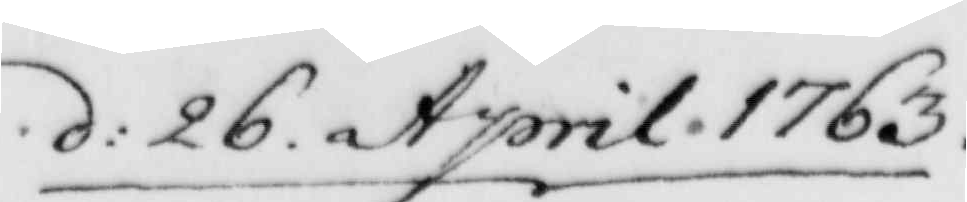d: 26. April. 1763.
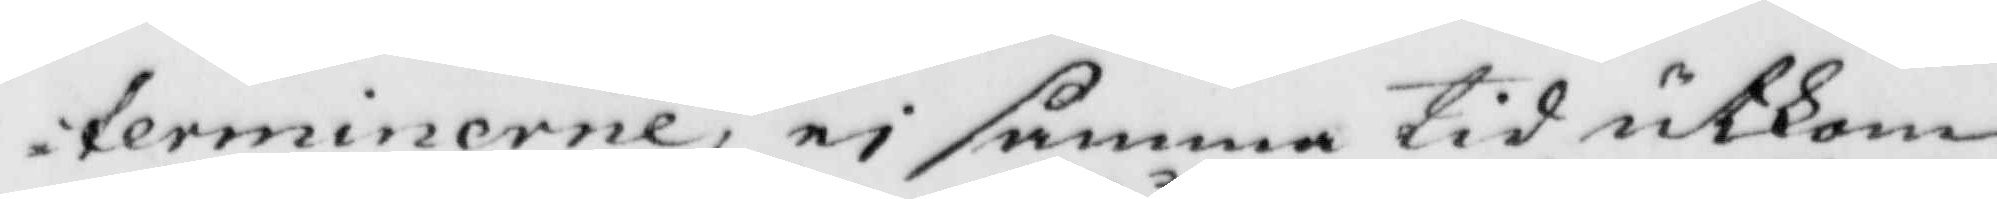terminerne, ei samma tid utkom¬
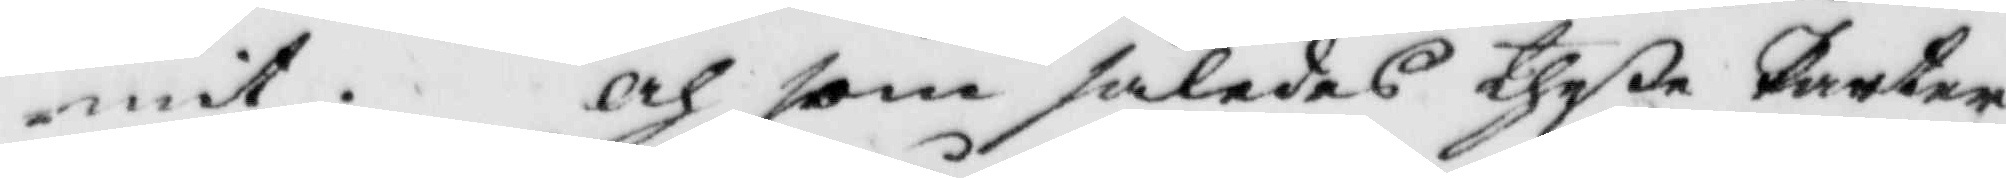mit. Och som således theße Parter
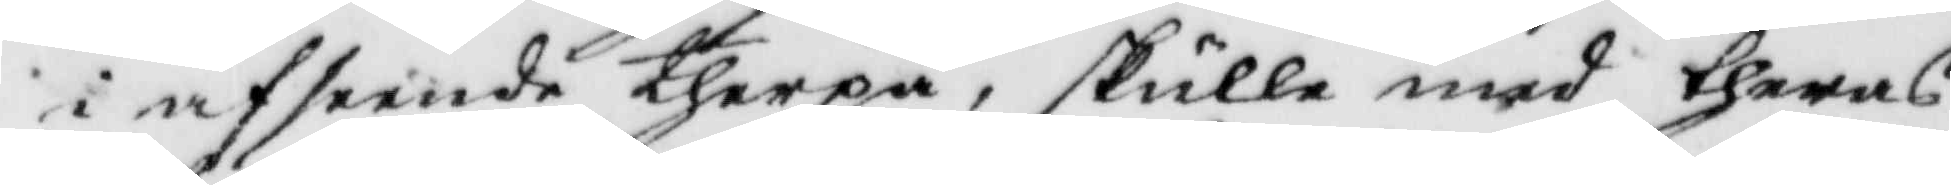i anseende therpå, skulle med theras
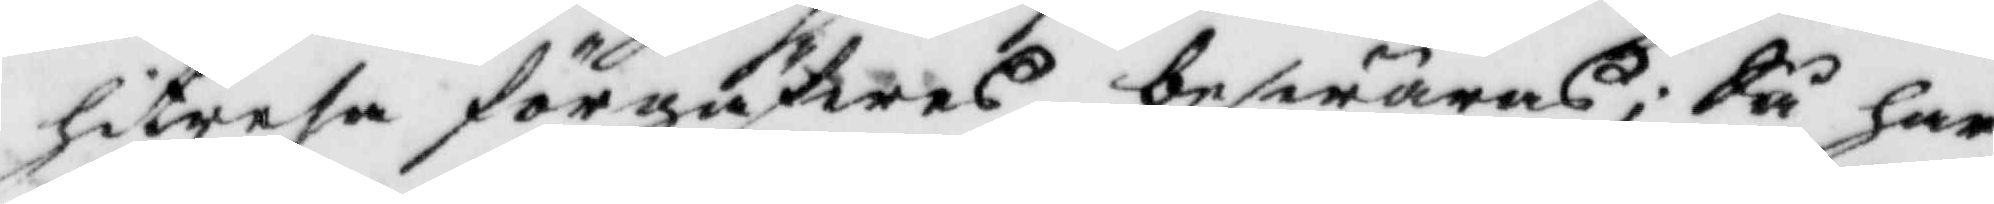hitresa förgäfwes beswäras; Så har
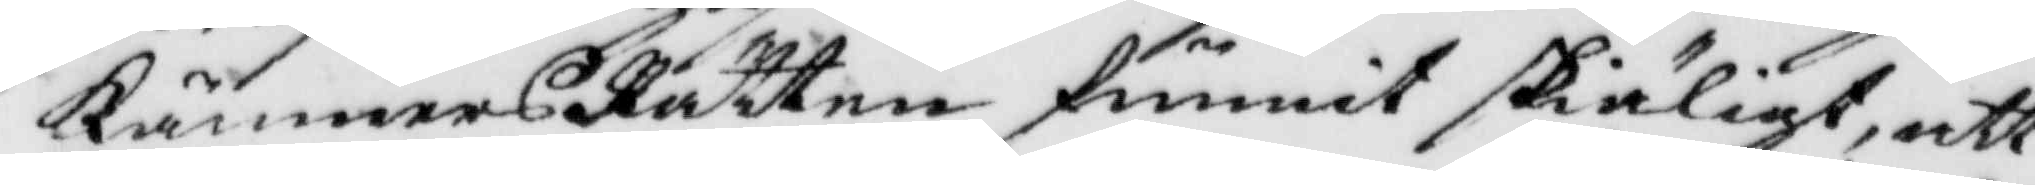KämnersRätten funnit skiäligt, att
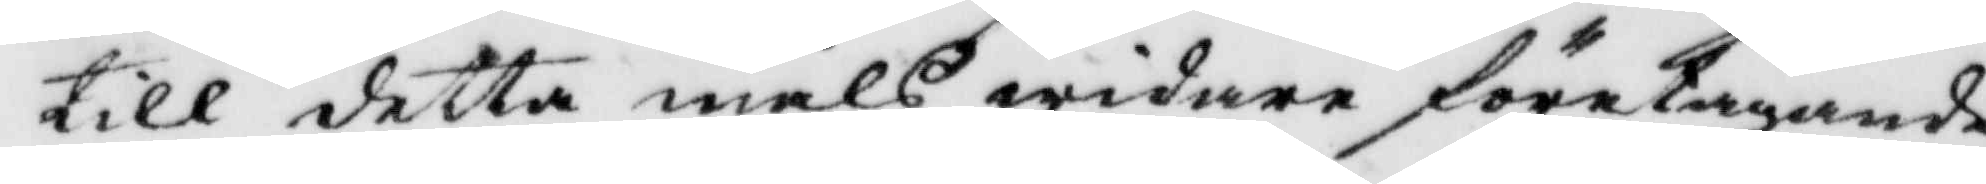till detta måls widare företagande,
